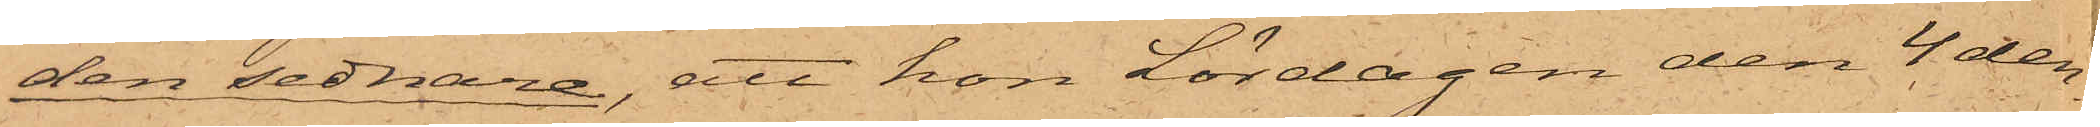den sednare, att hon Lördagen den 4 den¬
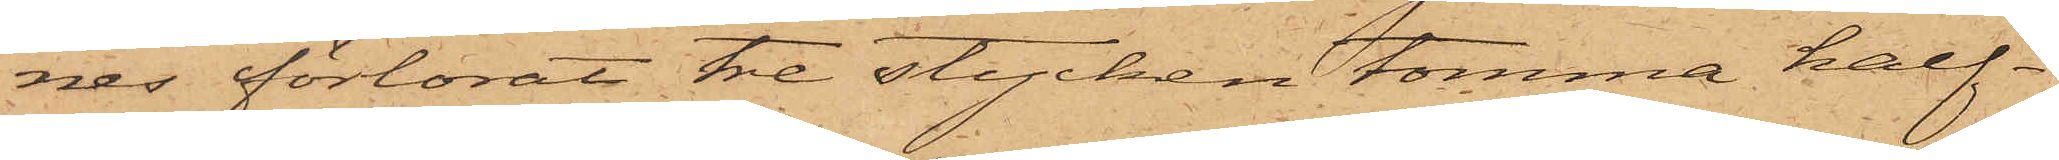nes förlorat tre stycken tomma half¬
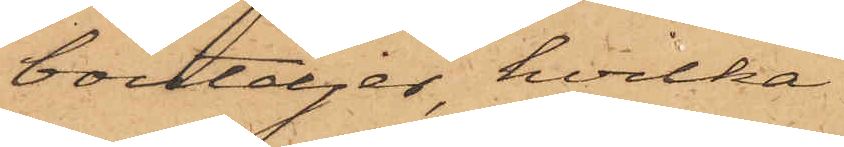bouteljer, hvilka
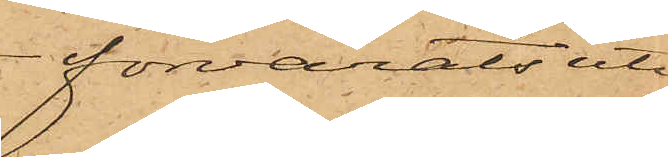förvarats uti
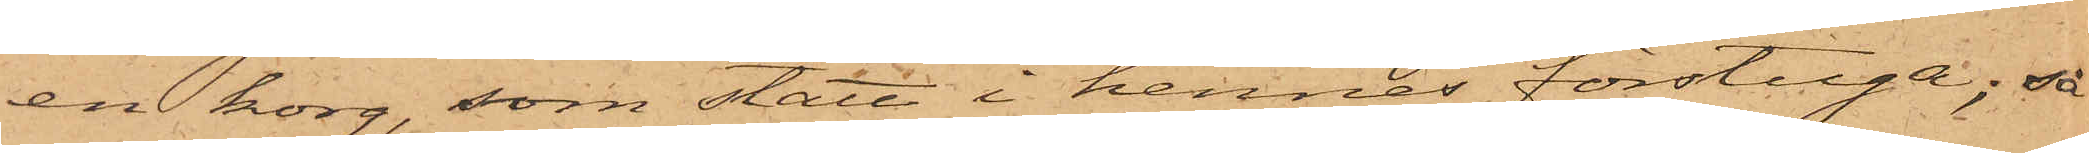en korg, som stått i hennes förstuga; så
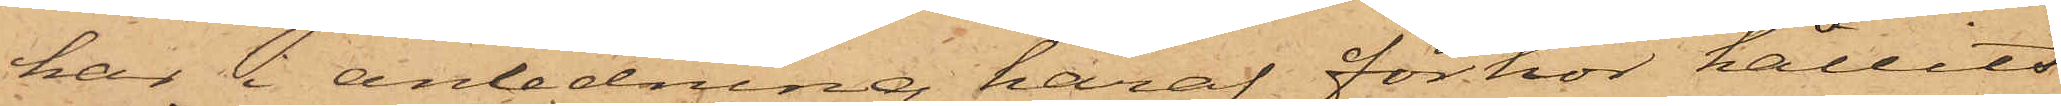har  anledning häraf förhör hållits
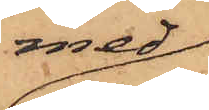med
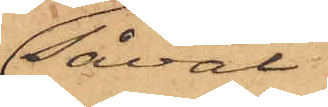såväl
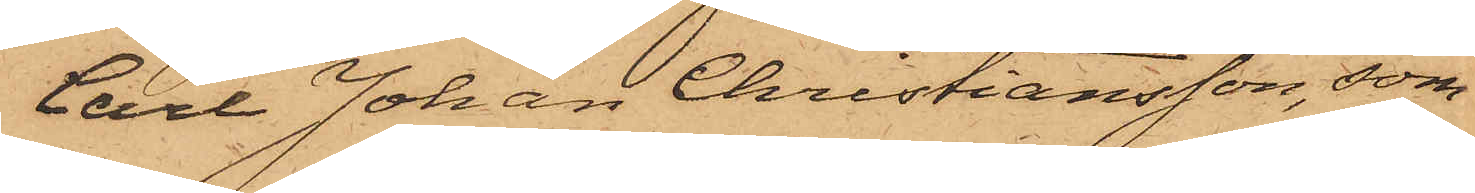Carl Johan Christiansson, som
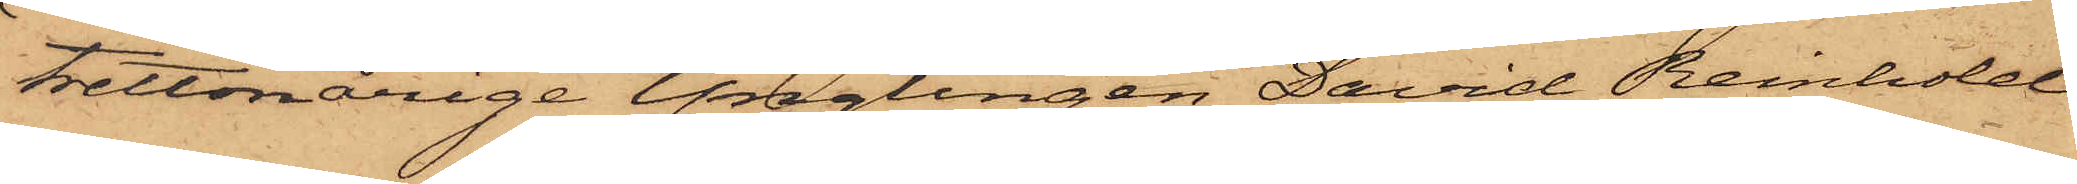trettonårige Ynglingen David Reinhold
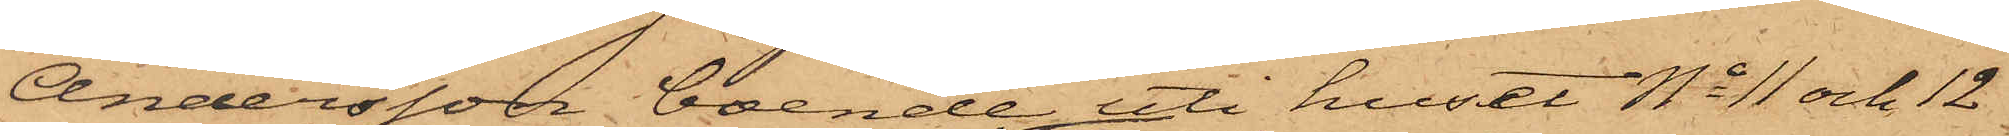Andersson, boende uti huset No 11 och 12
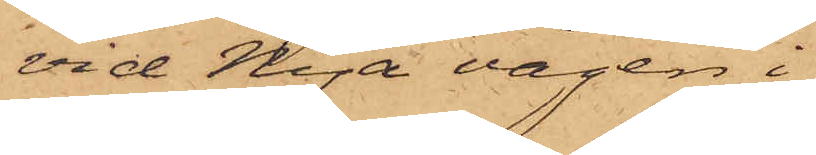vid Nya vägen i
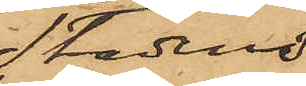Stadens
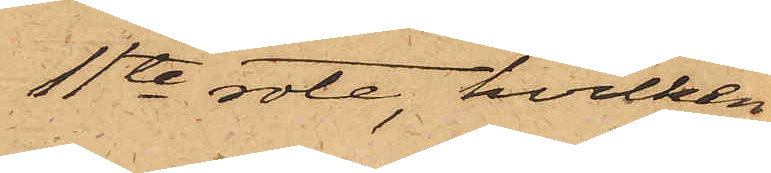11te rote, hvilken
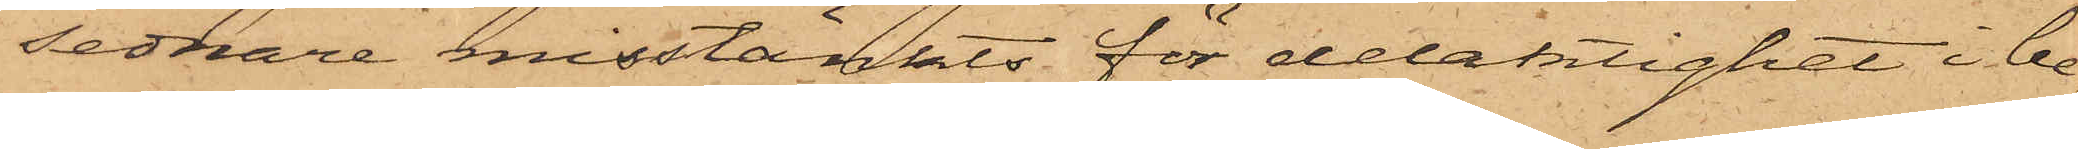sednare misstänkts för delaktighet i be¬
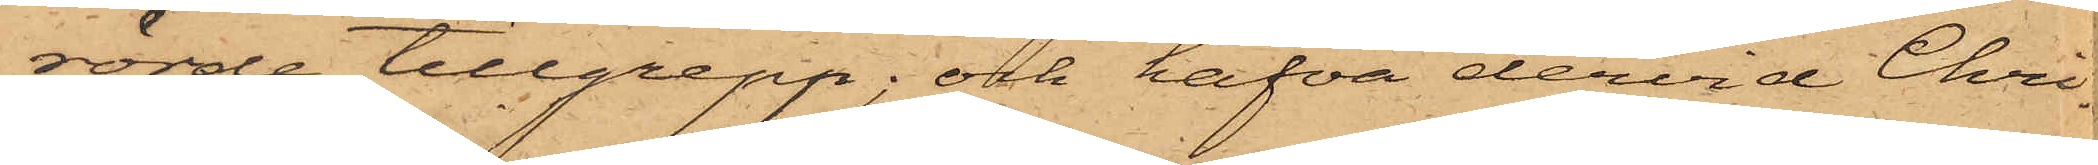rörde tillgrepp; och hafva dervid Chri¬
